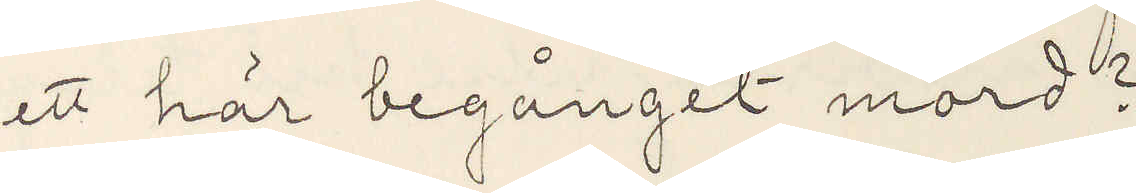ett här begånget mord?
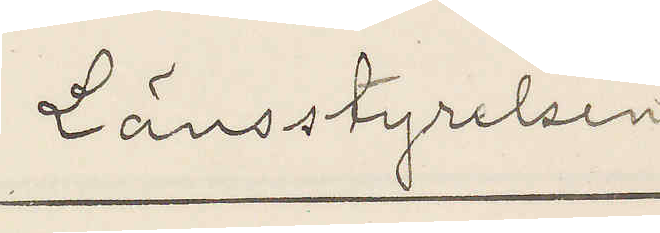Länsstyrelsen
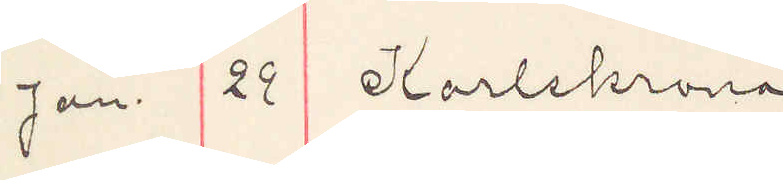Jan. 29 Karlskrona
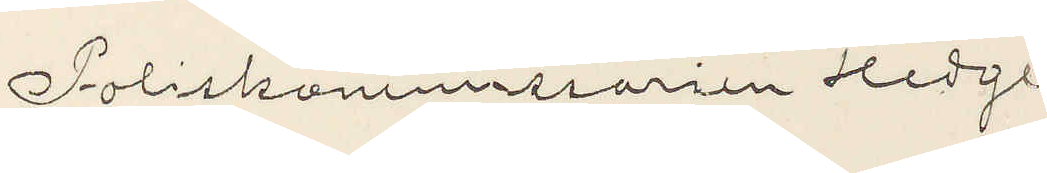Poliskommissarien Hedge
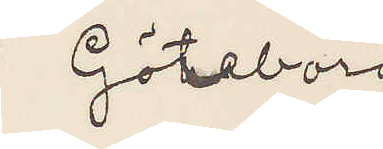Göteborg
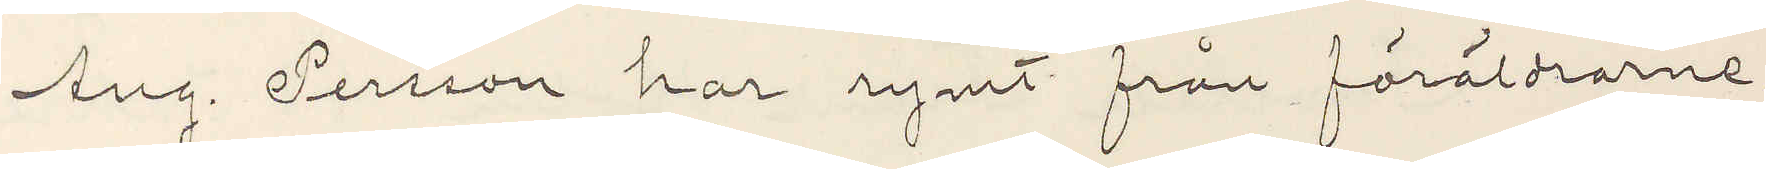Aug Persson har rymt från föräldrarne.
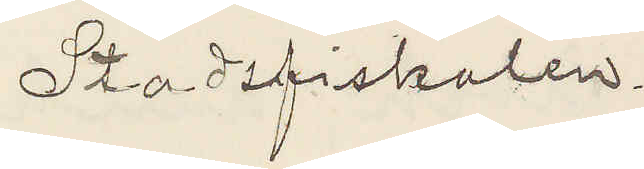Stadsfiskalen.
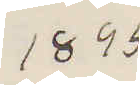1895
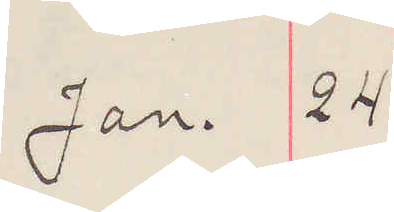Jan. 24
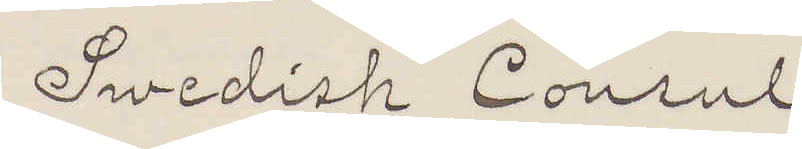Swedish Consul
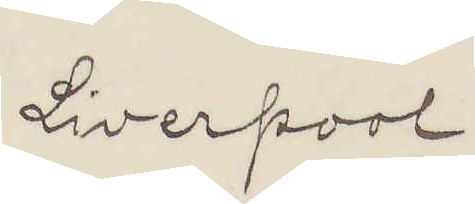Liverpool.
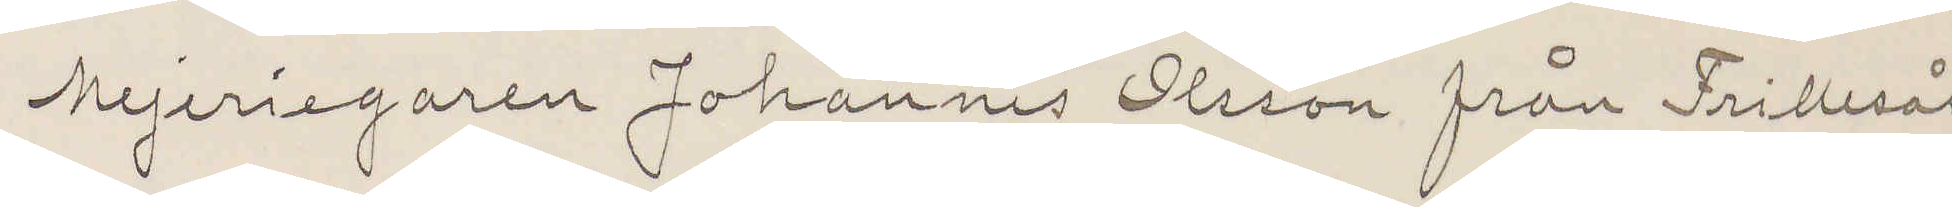Mejeriegaren Johannes Olsson från Frillesås
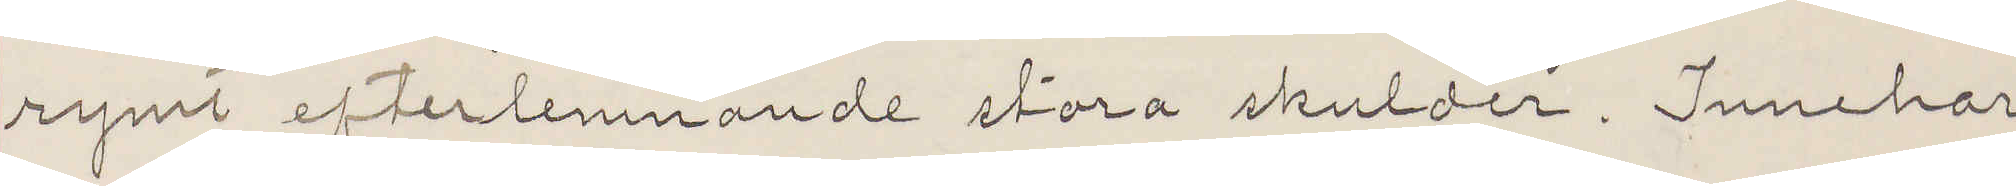rymt efterlemnande stora skulder. Innehar
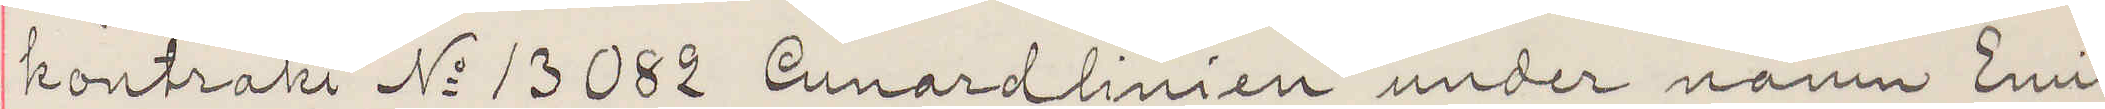kontrakt No 13082 Cunardlinien under namn Emil
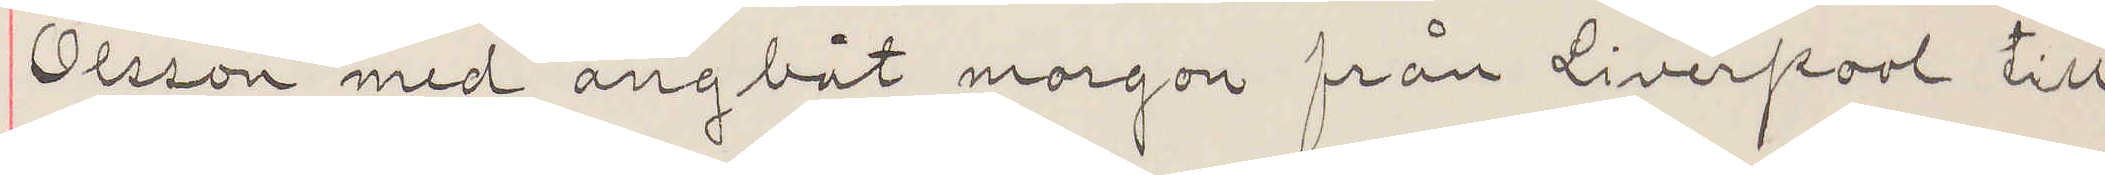Olsson med ångbåt morgon från Liverpool till
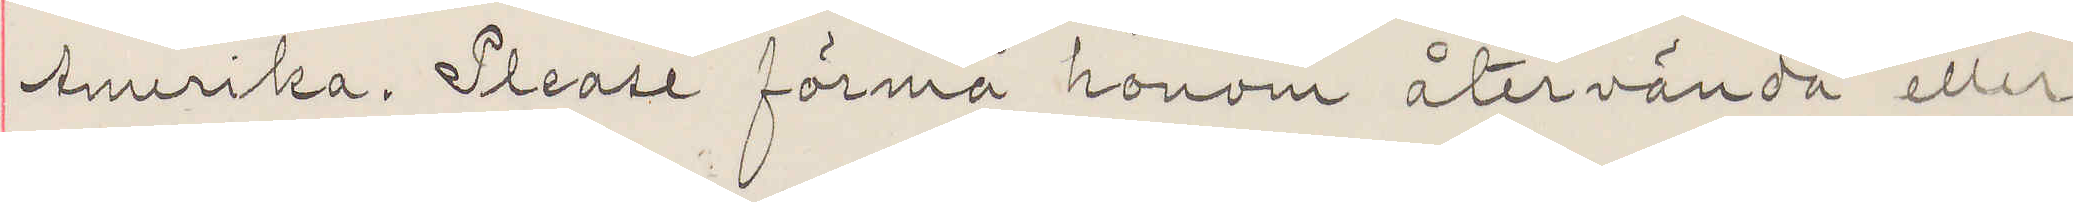Amerika. Please förmå honom återvända eller
